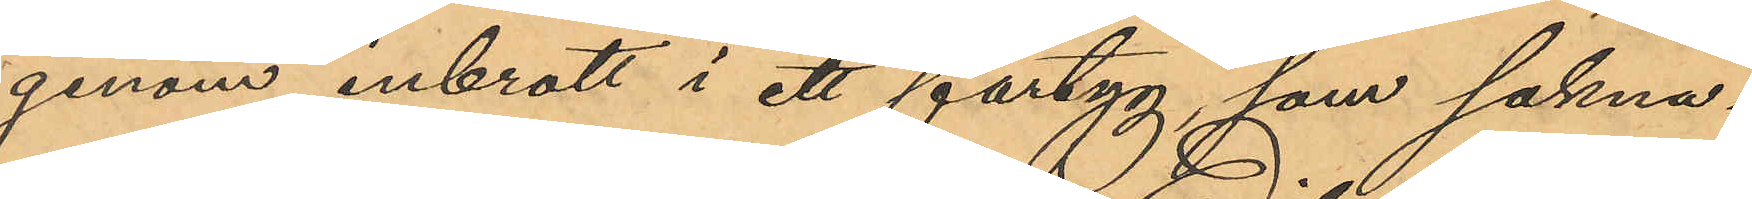genom inbrott i ett fartyg, som sakna¬
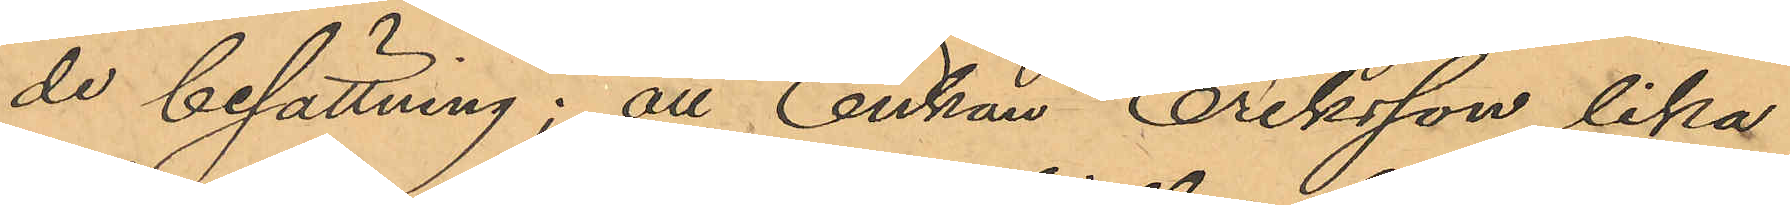de besättning; att Enkan Eriksson lika
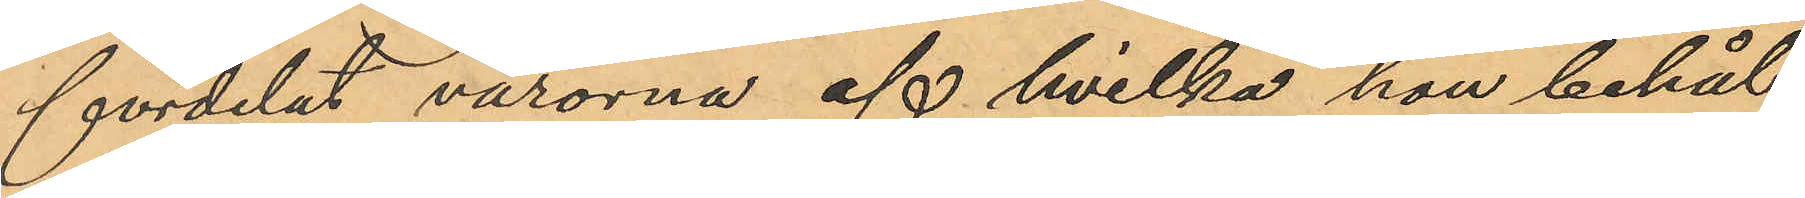fördelat varorna, af hvilka hon behål¬
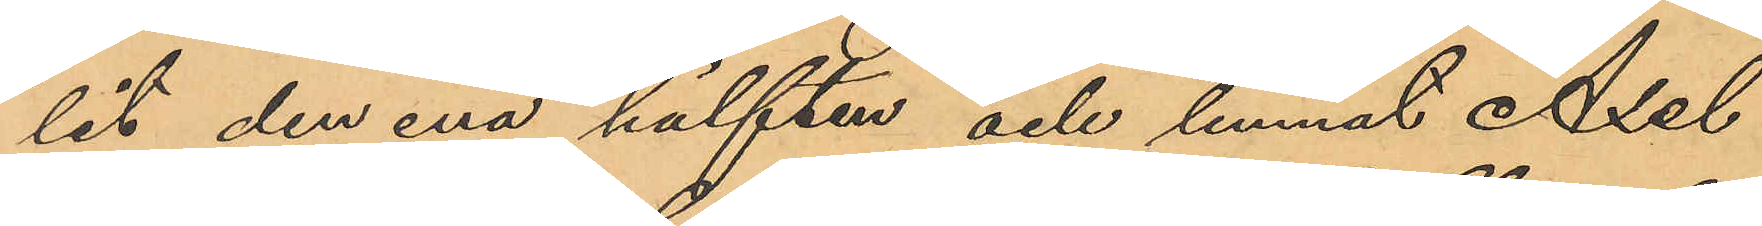lit den ena hälften och lemnat Axel
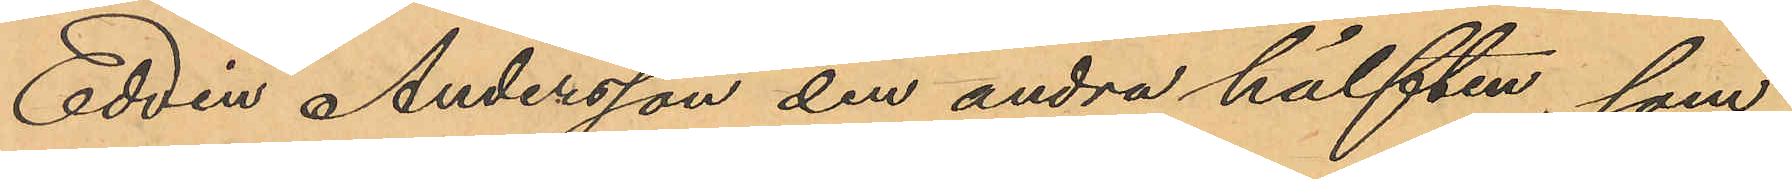Edvin Andersson den andra hälften, som
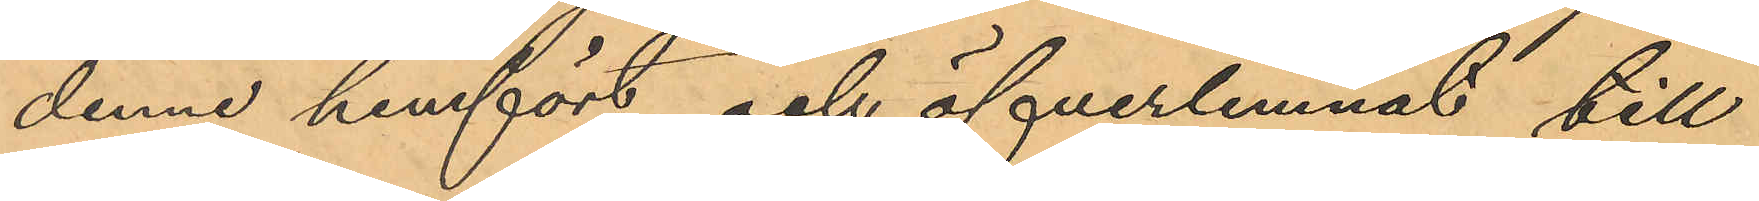denne hemfört och öfverlemnat till
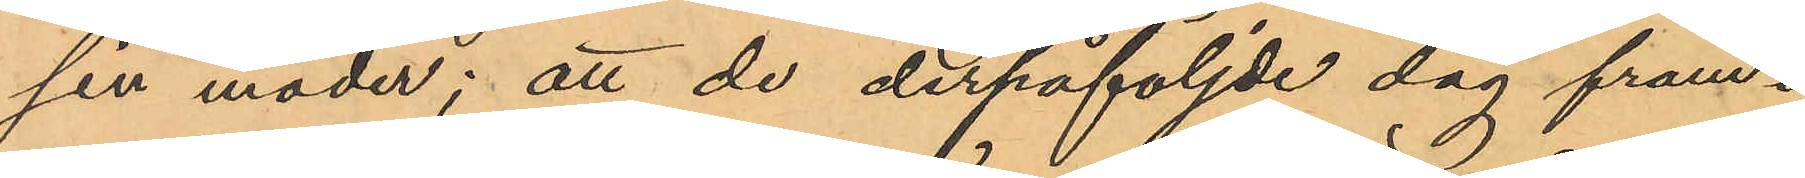sin moder; att de derpåföljde dag fram¬
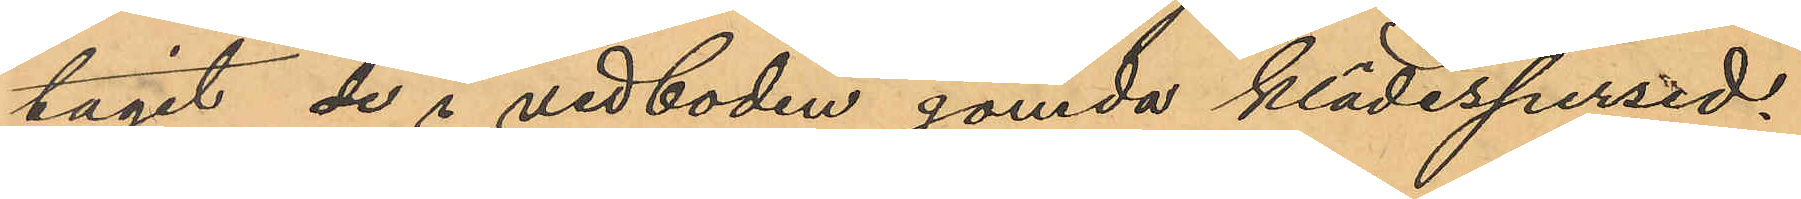tagit de i vedboden gömda klädespersed¬
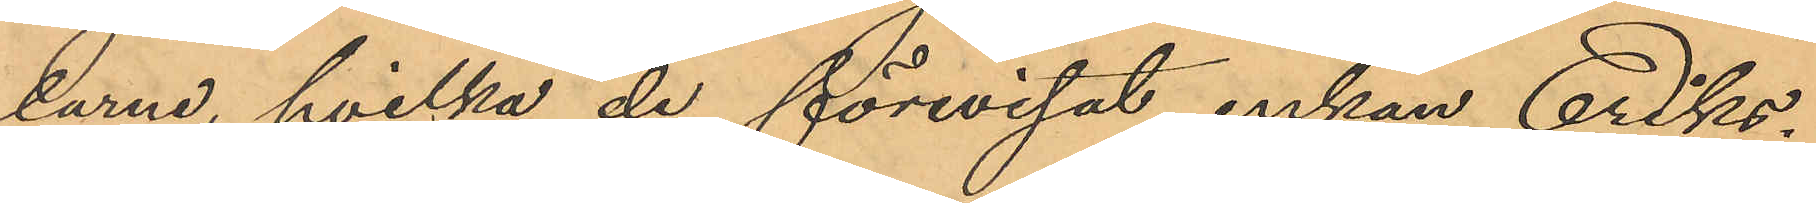larne, hvilka de förevisat enkan Eriks¬
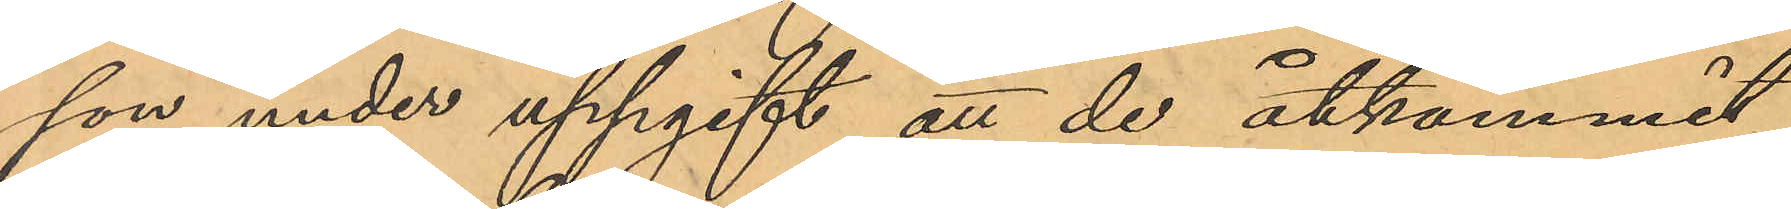son under uppgift att de åtkommit
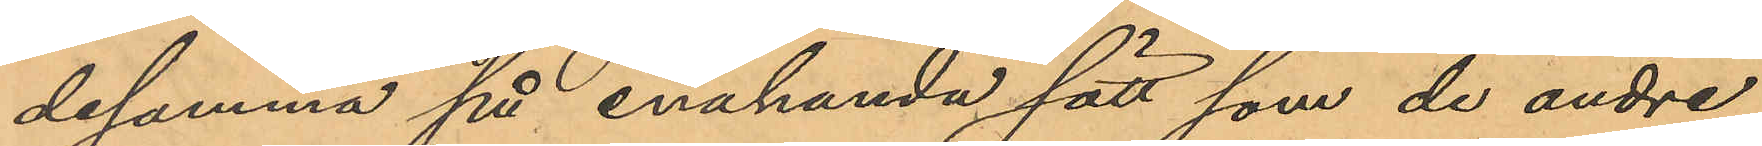desamma på enahanda sätt som de andre
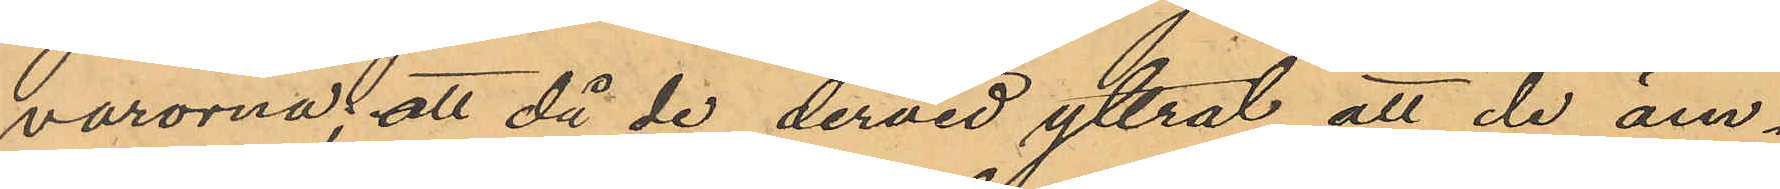varorna, att då de dervid yttrat att de äm¬
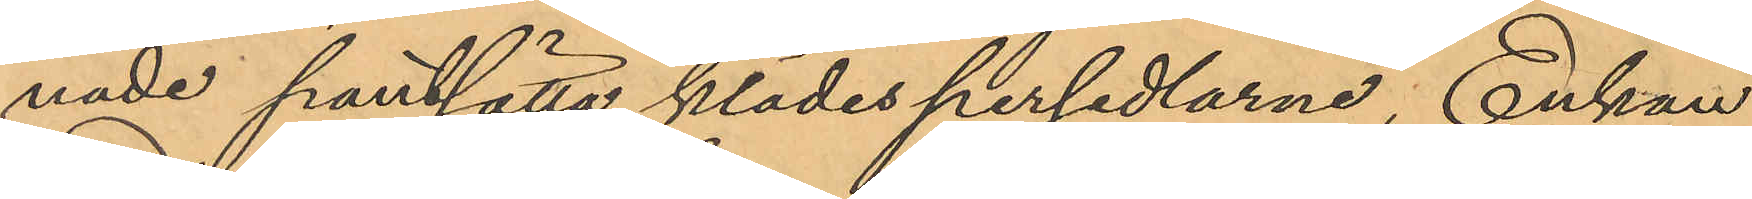nade pantsätta klädespersedlarne, Enkan
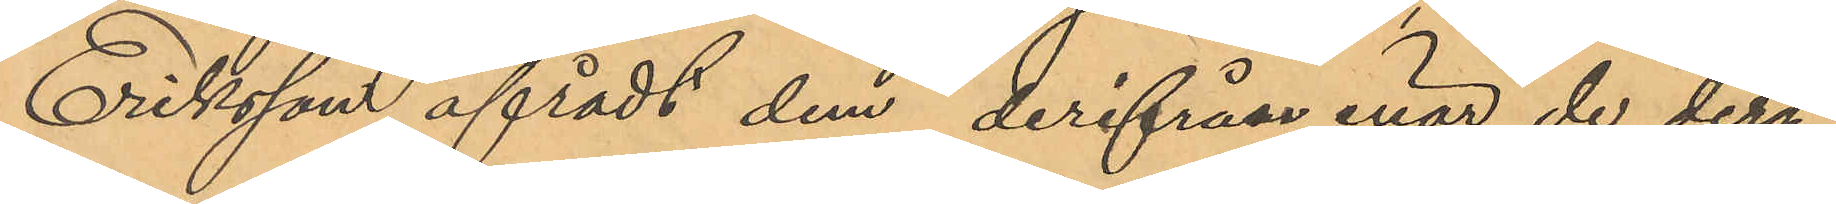Eriksson afrådt dem derifrån, enär de deri
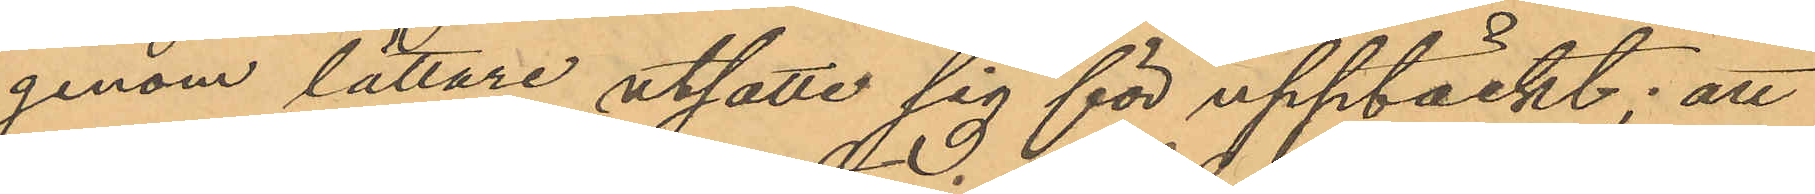genom lättare utsatte sig för upptäckt; att
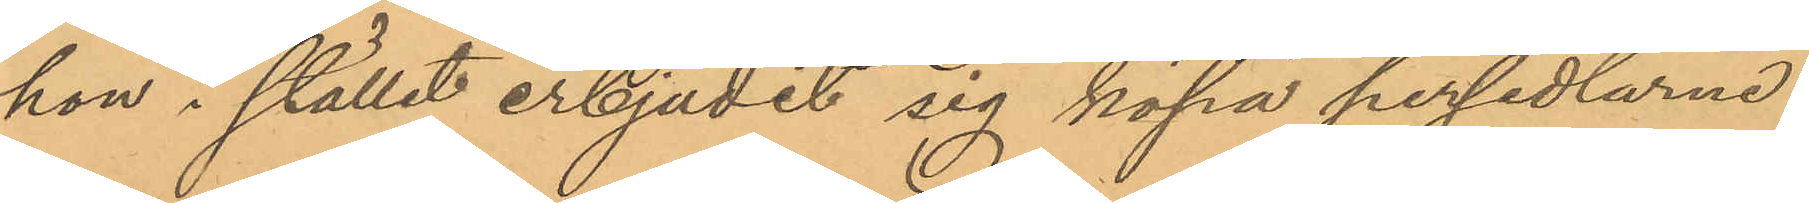hon i stället erbjudit sig köpa persedlarne
